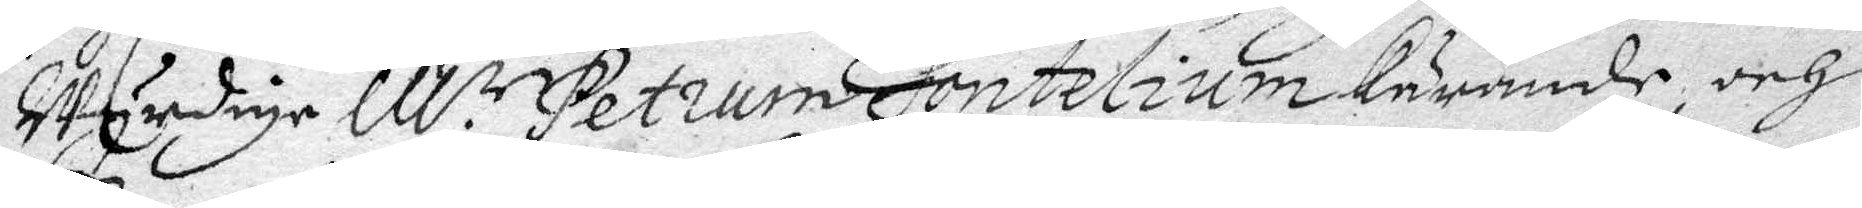Wyrdige M.r Petrum Fontelium kärande, och
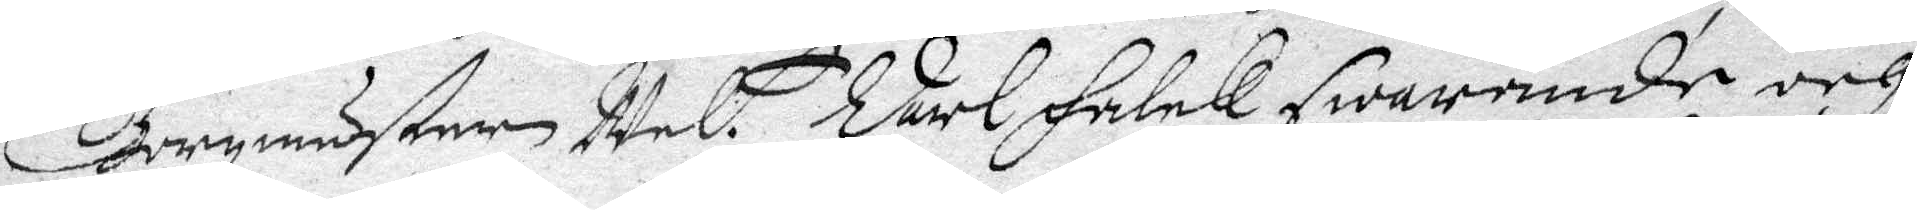Borgmästaren Wel. Carl Falck swarnade och
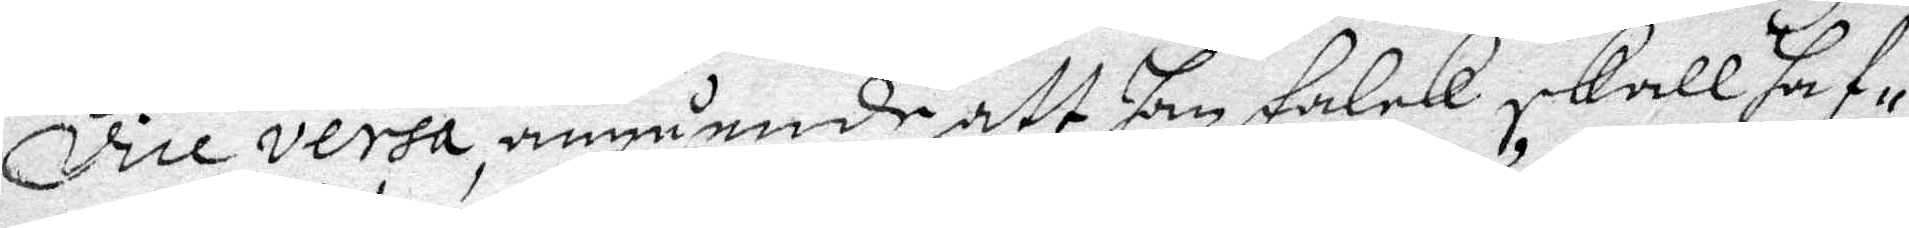vice versa, angående att han Falck skall haf¬
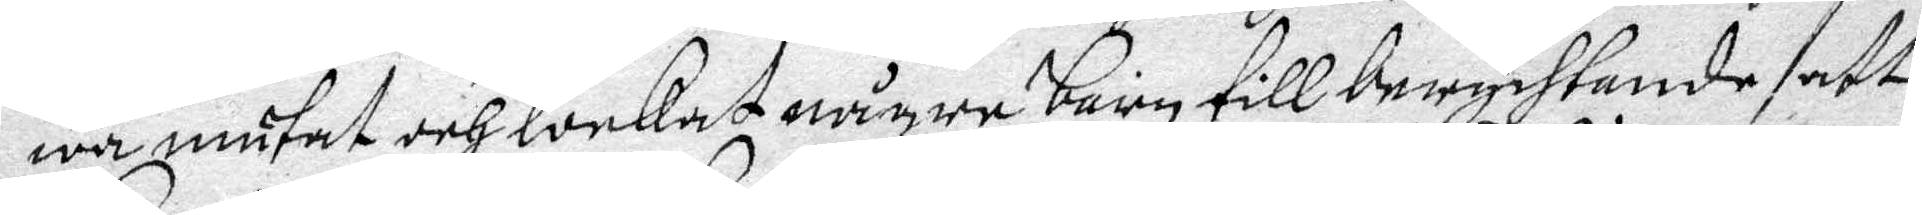wa mutat och lockat några barn till berychtande att
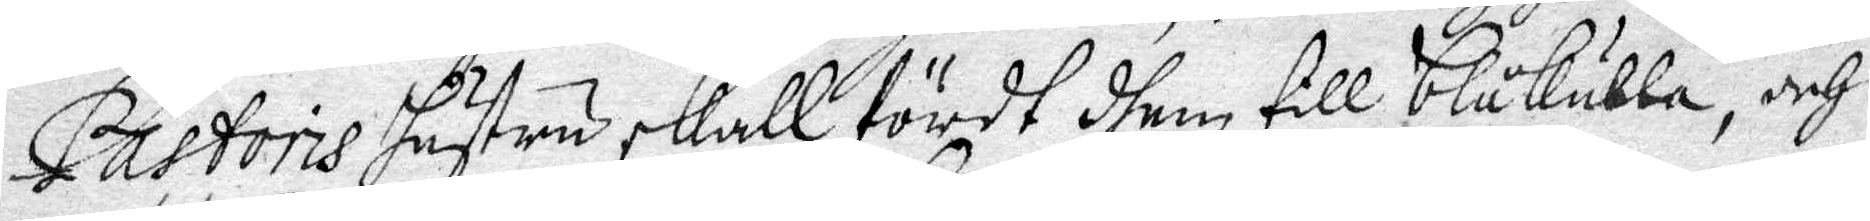Pastoris hustru skall fördt dhem till blåkulla, och
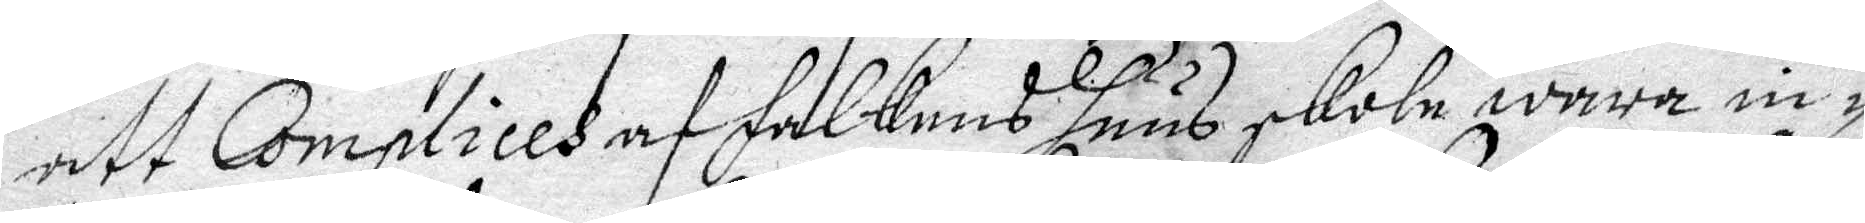att Complices af Falckens huus skole wara in¬
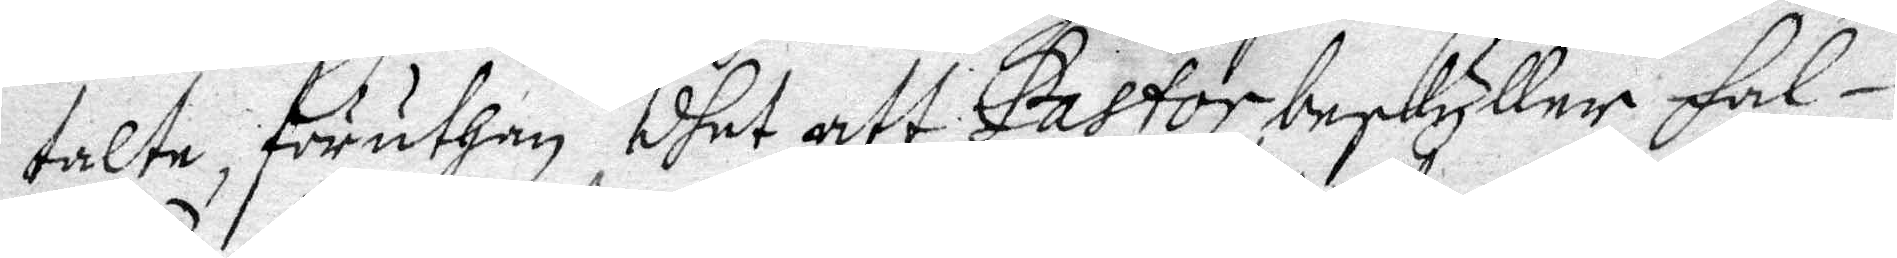talte föruthan dhet att Pastor beskyller Fal¬
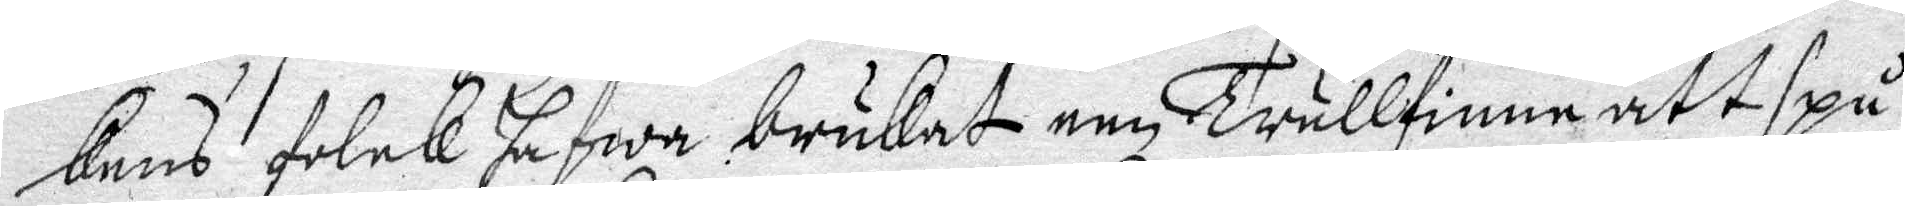kens folck hafwa brukat een Trullfinne att spå
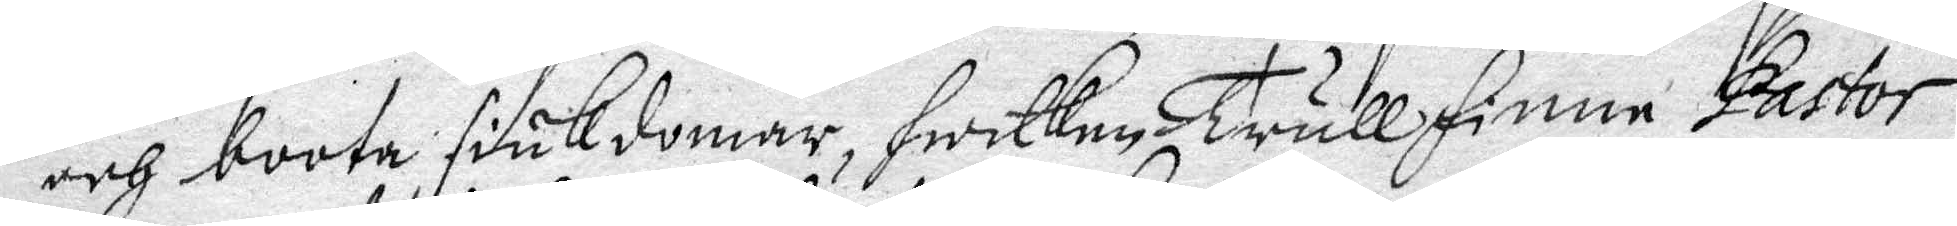och boota siukdomar, hwilken Trullfinne Pastor
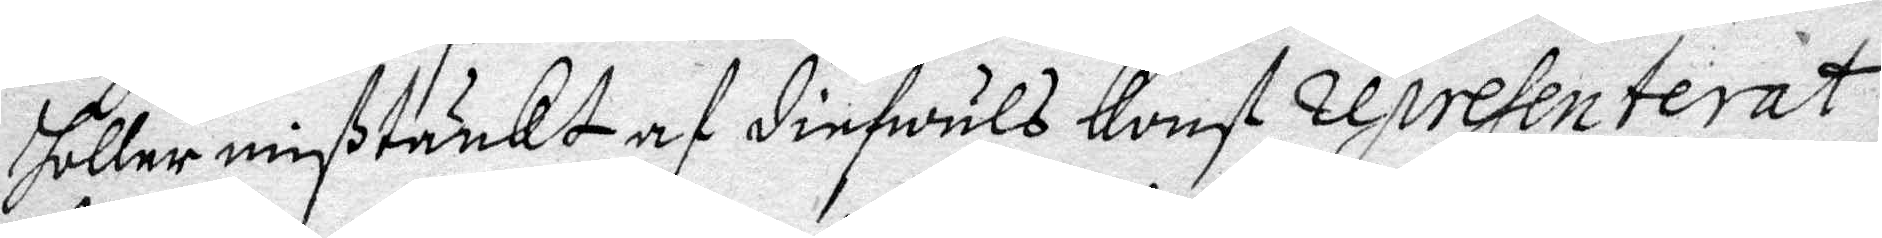holler mißtänkt af diefwuls konst representerat
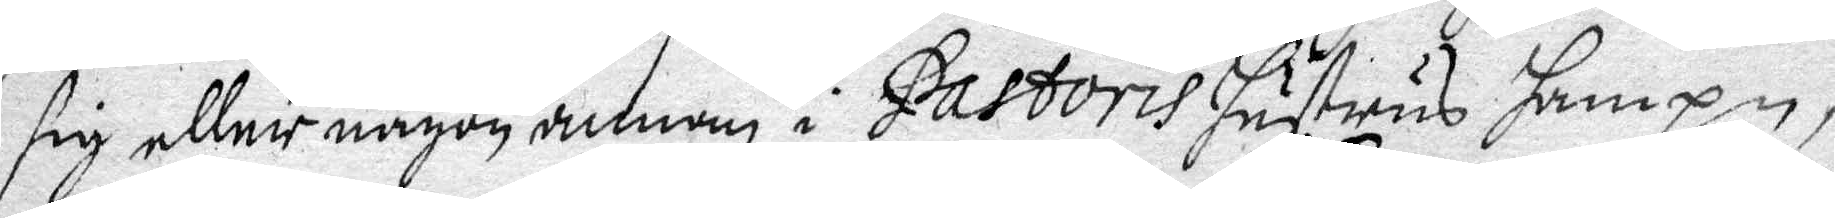sig eller någon annan i Pastoris hustrus hampn,
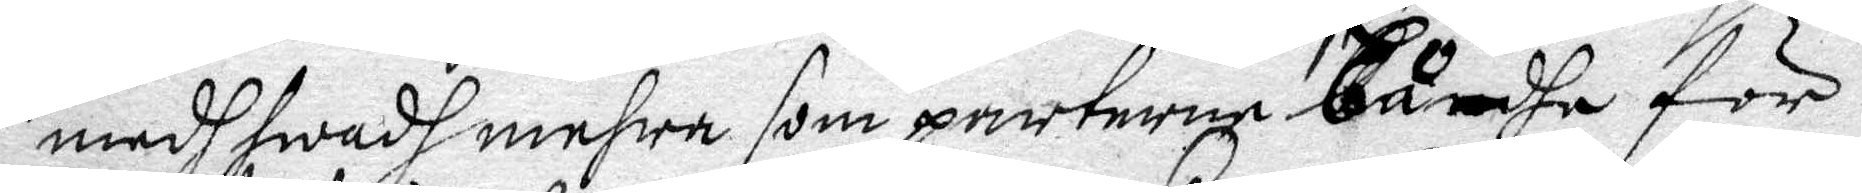medh hwadh mehra som parterna bådhe för
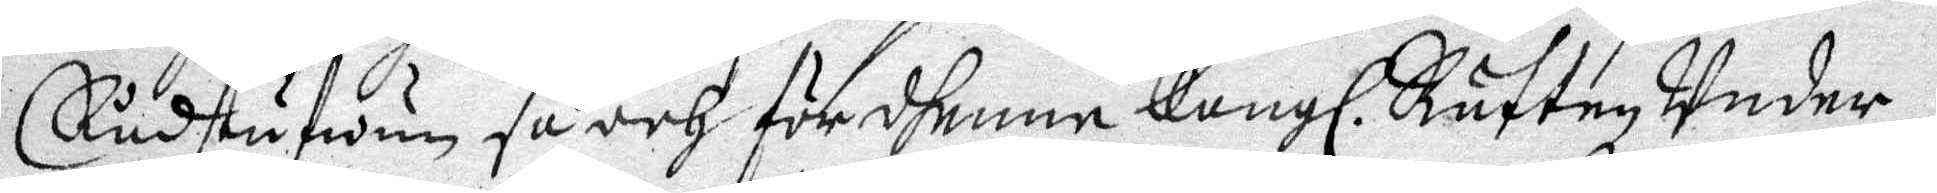Rådstufwun så och för dhenne Kongl. Rätten Under¬
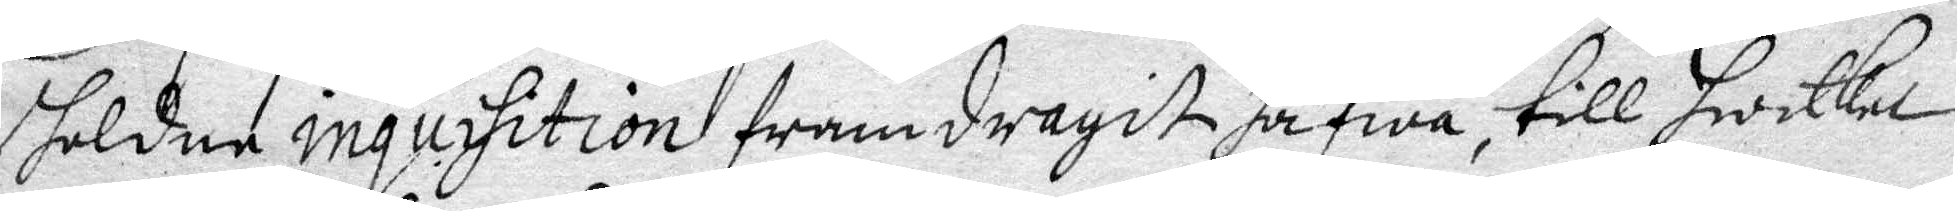holdne inquisition framdragit hafwa, till hwilka
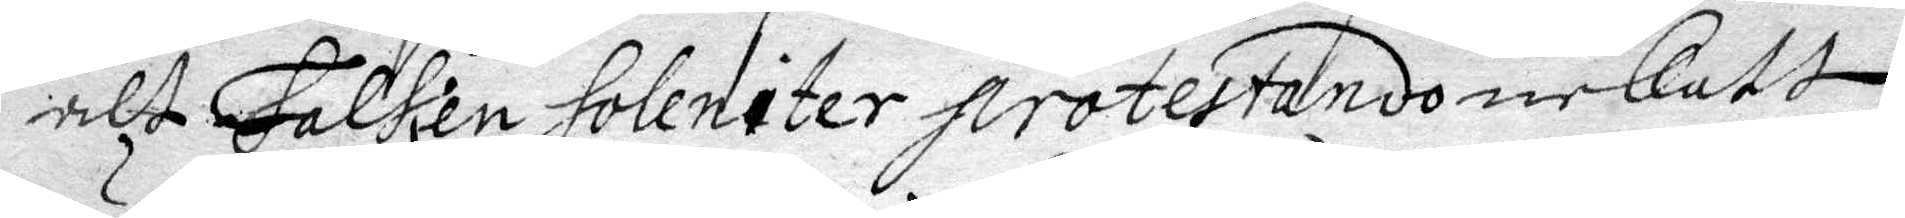alt Falckens holeniter protesterando nekatt
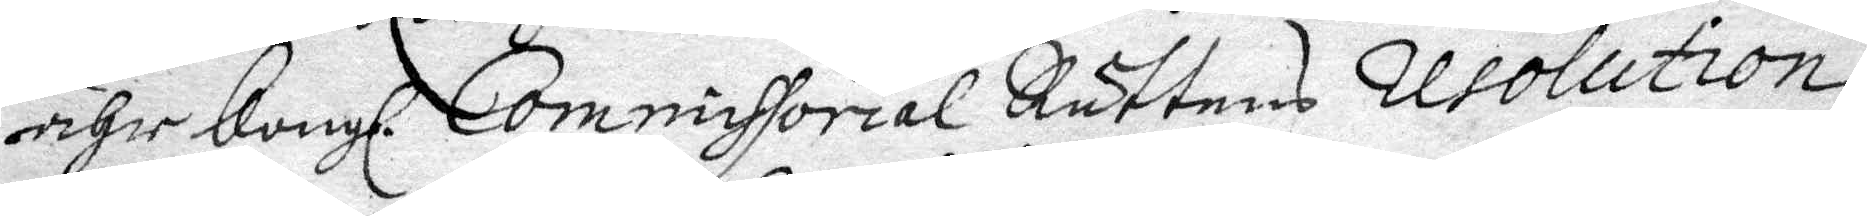ähr Kongl. Commissorial Rättens resolution
